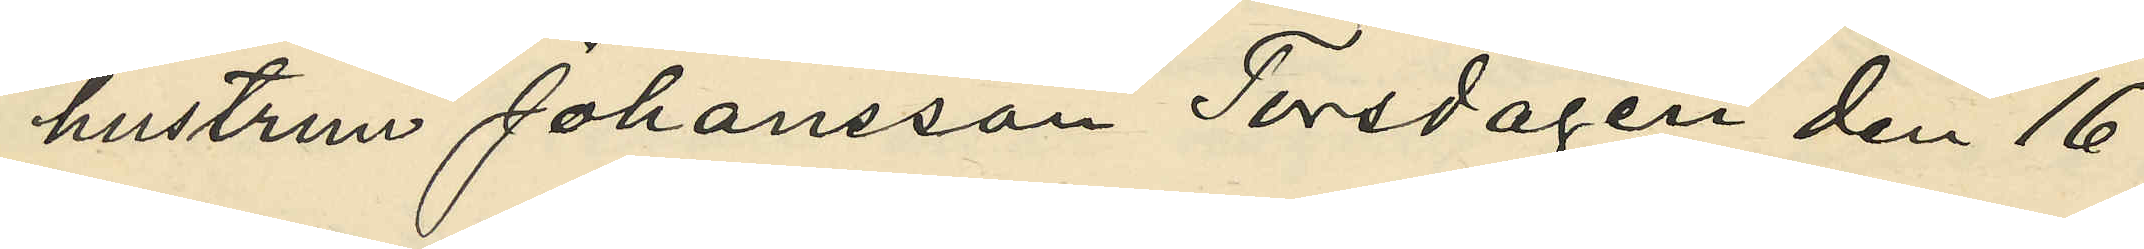hustrun Johansson Torsdagen den 16
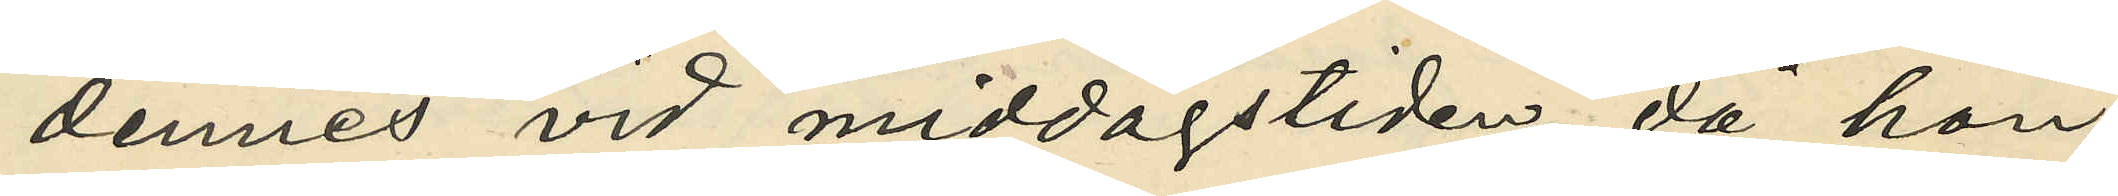dennes vid middagstiden, då hon
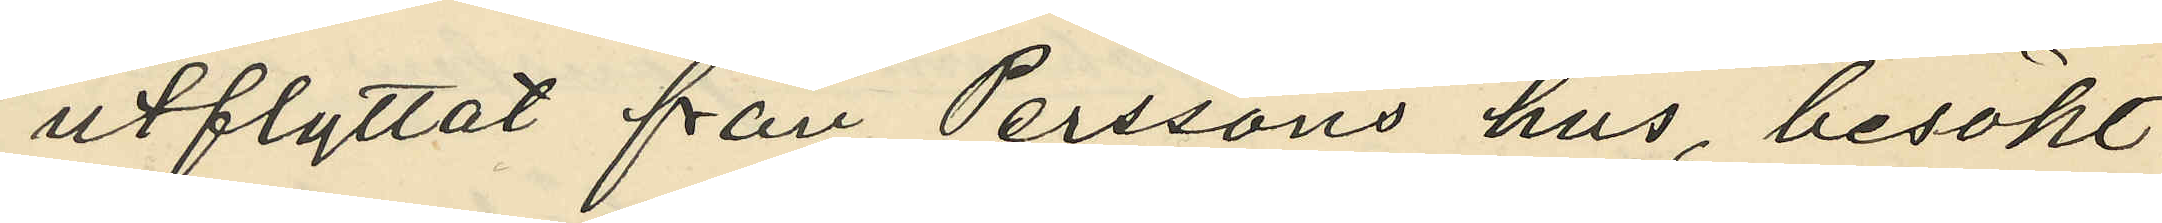utflyttat från Perssons hus besökt
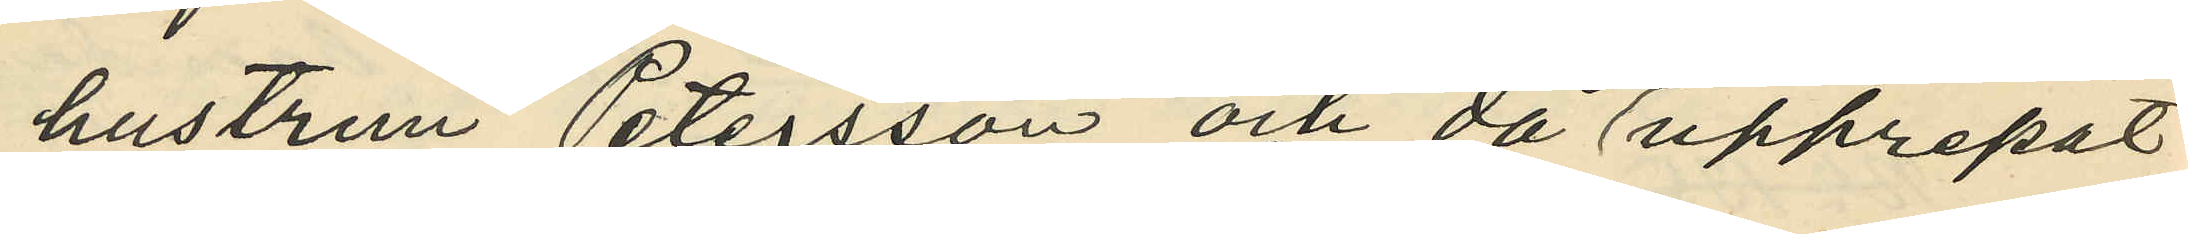hustrun Petersson och då upprepat
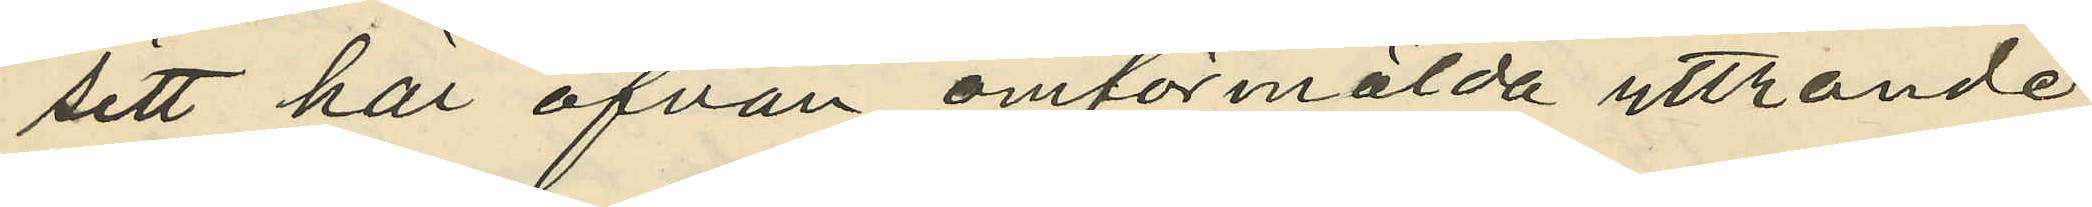sitt här ofvan omförmälda yttrande;
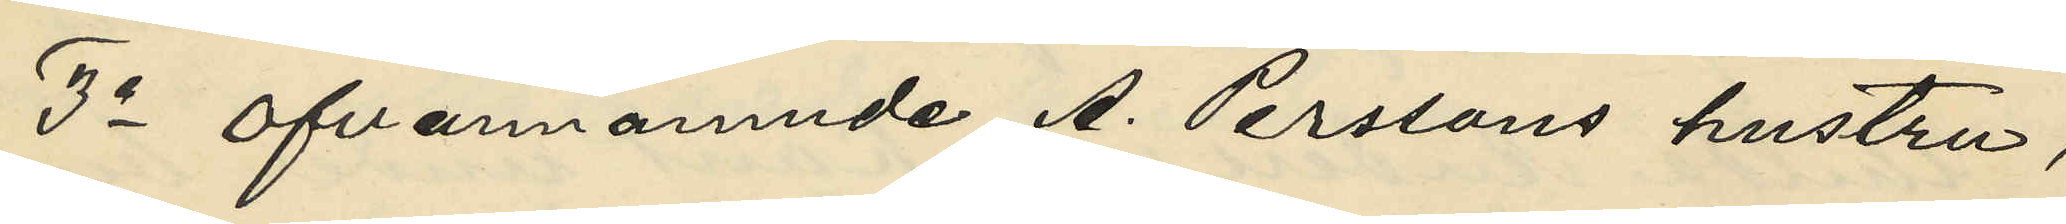3o ofvannämnde A. Perssons hustru,
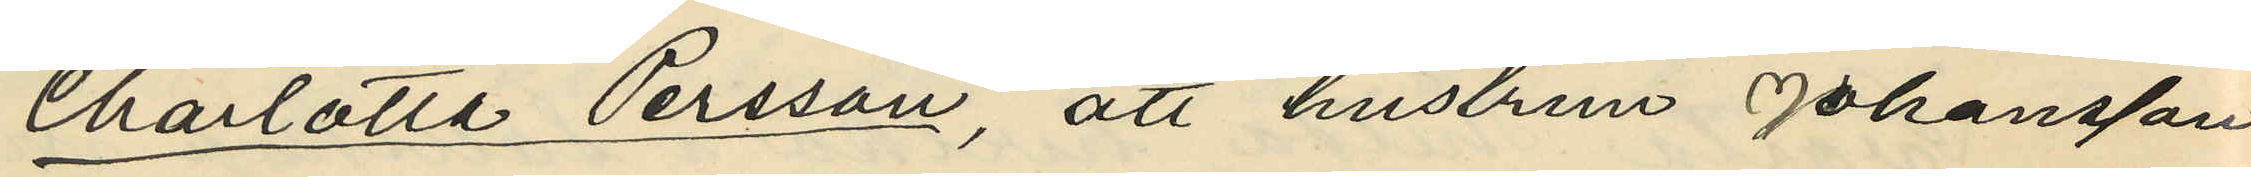Charlotta Persson, att hustrun Johansson
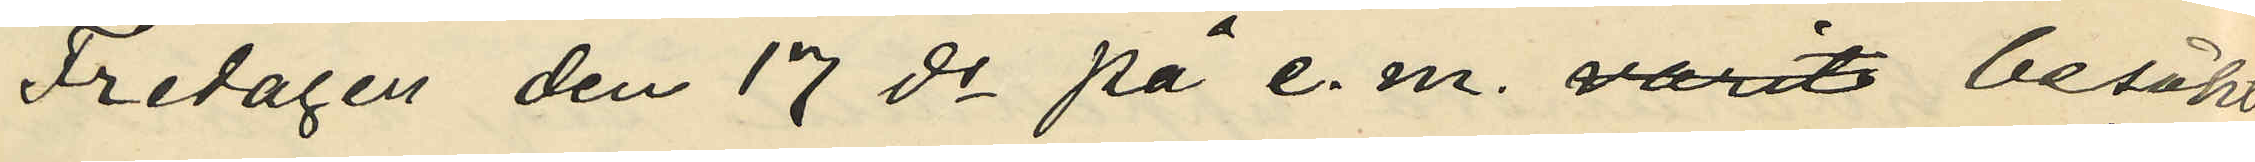Fredagen den 17 ds på e. m. besökt
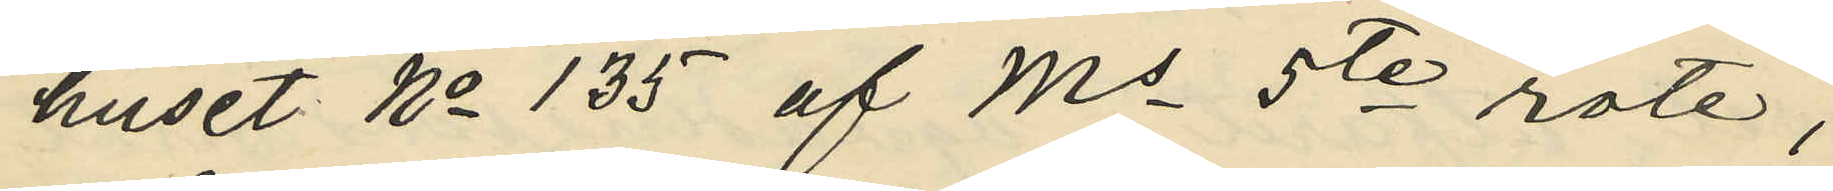huset No 135 af Ms 5te rote;
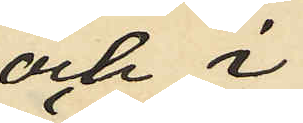och i
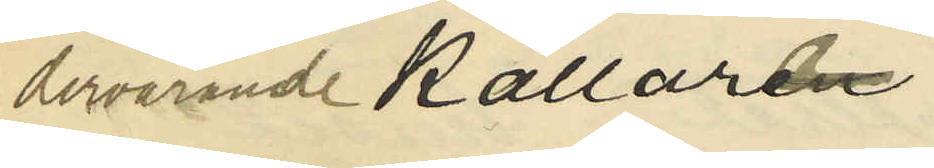dervarande källaren
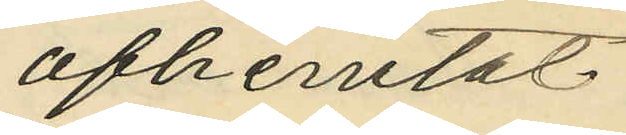afhemtat
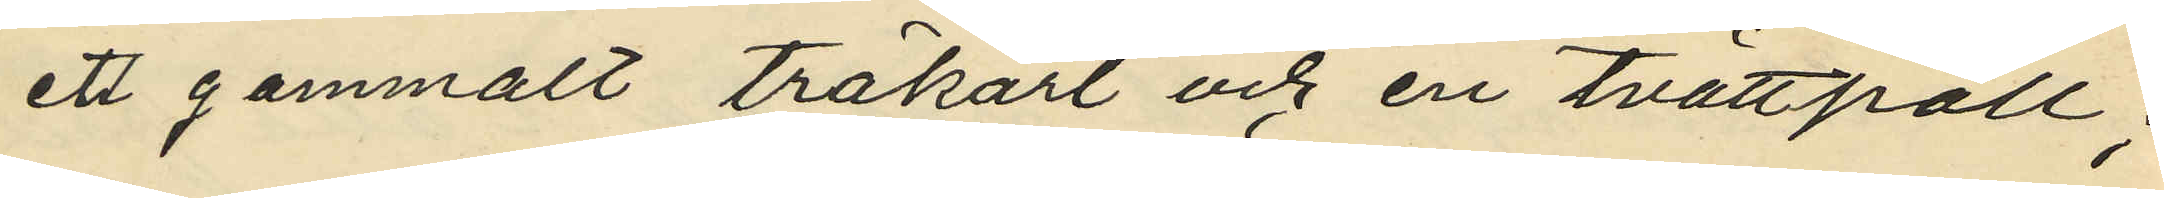ett gammalt träkärl och en tvättpall;
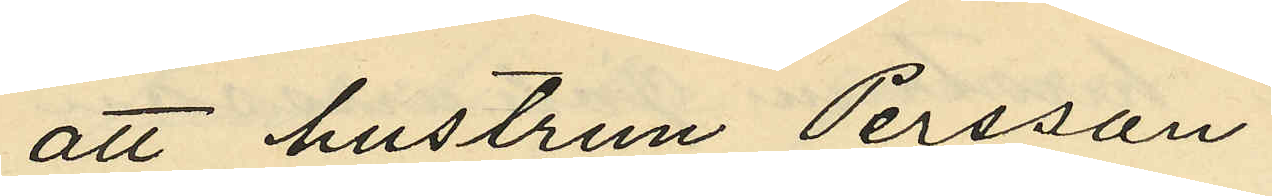att hustrun Persson
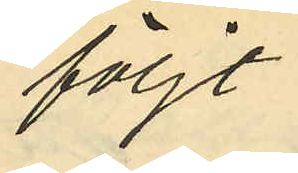följt
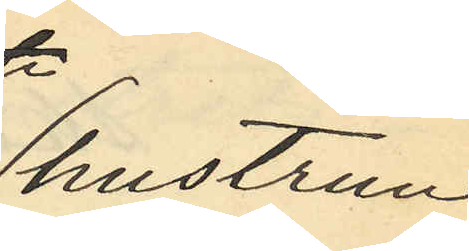hustrun
